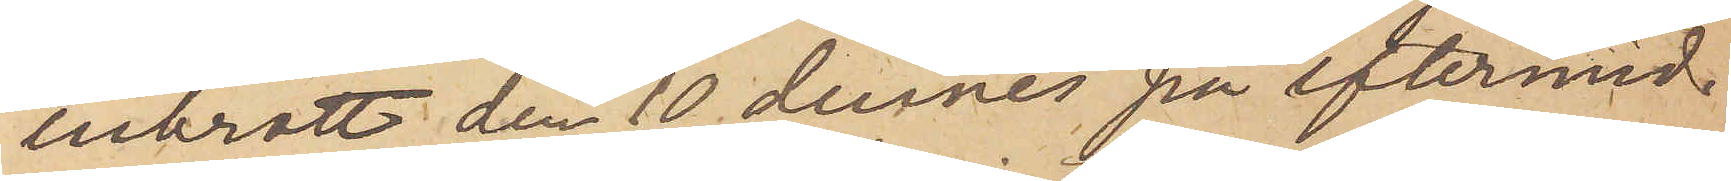inbrott den 10 dennes på eftermid¬
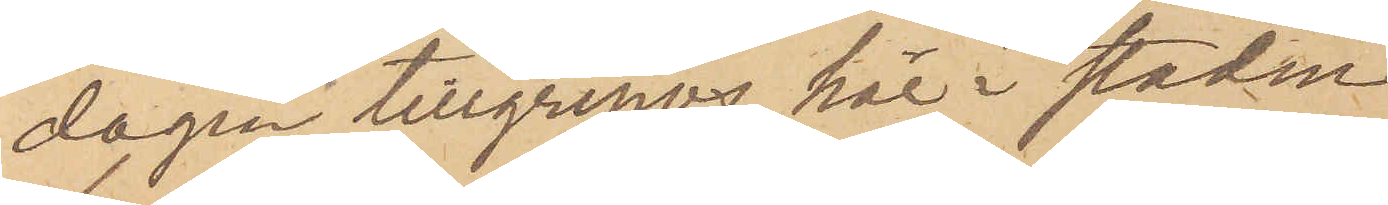dagen tillgripos här i staden
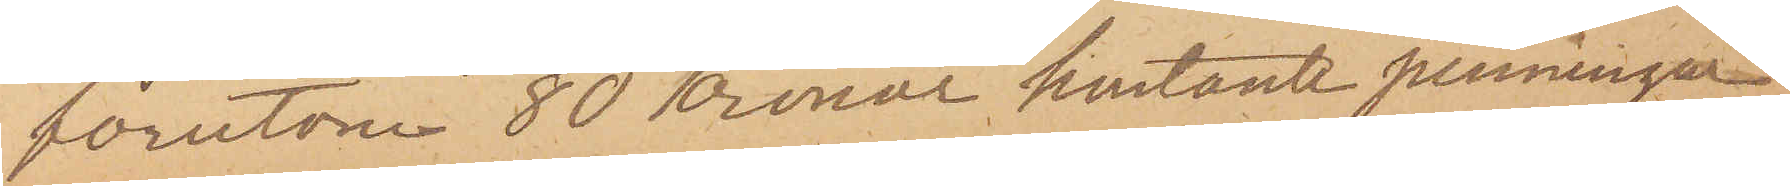förutom 80 Kronor kontante penningar
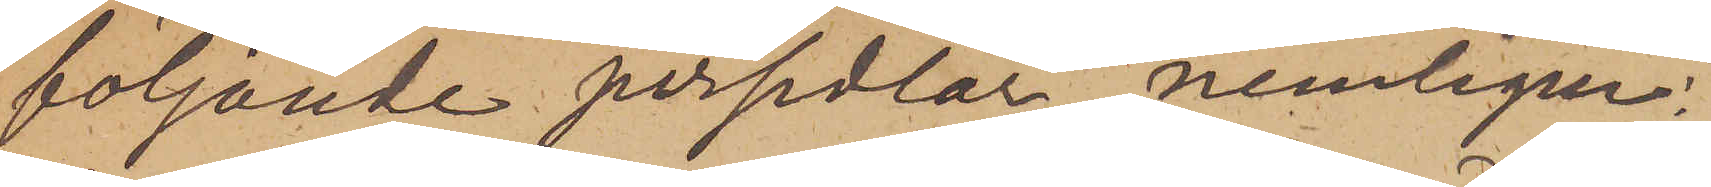följande persedlar nemligen:
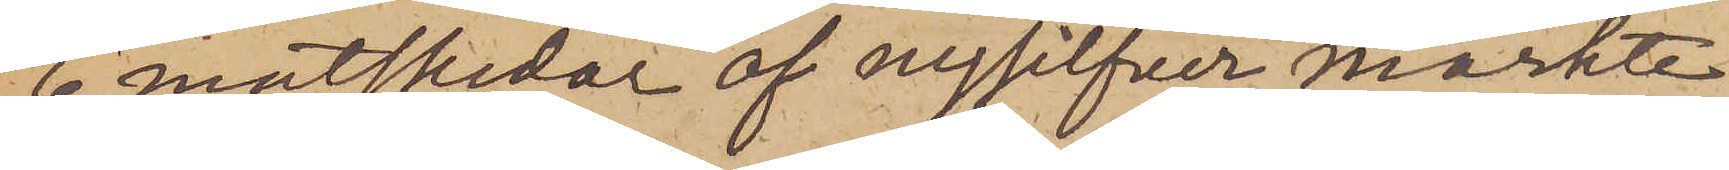6 matskedar af nysilfver, märkte
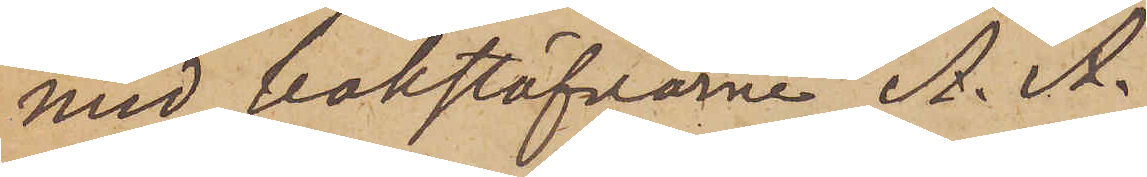med bokstäfvarne A. A.
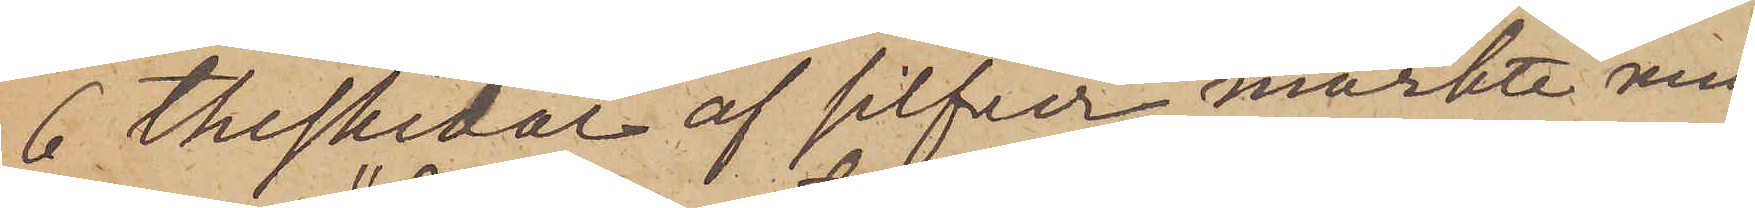6 theskedar af silfver märkte med
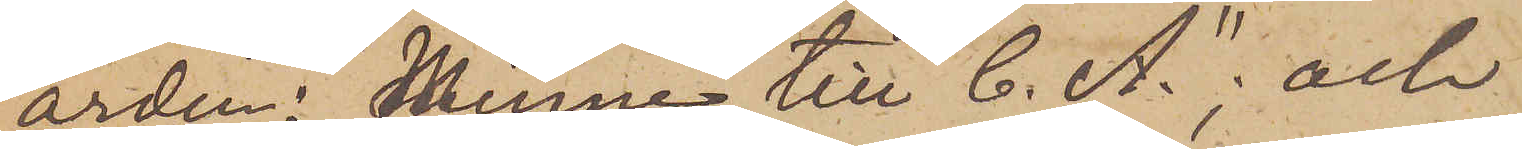orden: "Minne till C. A."; och
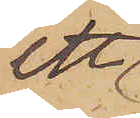ett
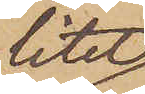litet
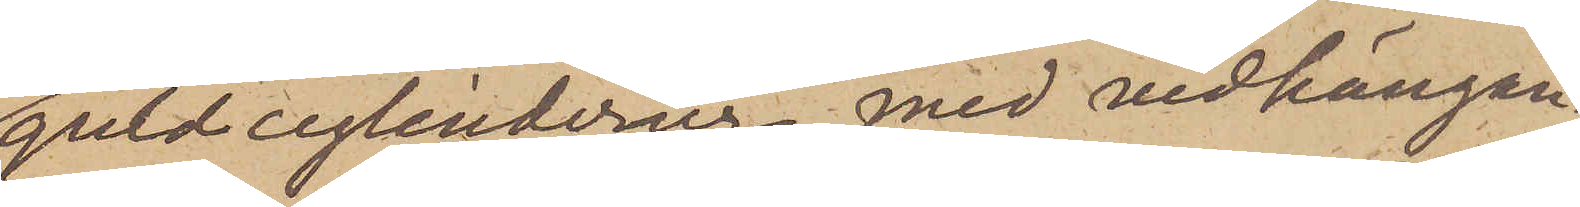guldcylinderur med vidhängan¬
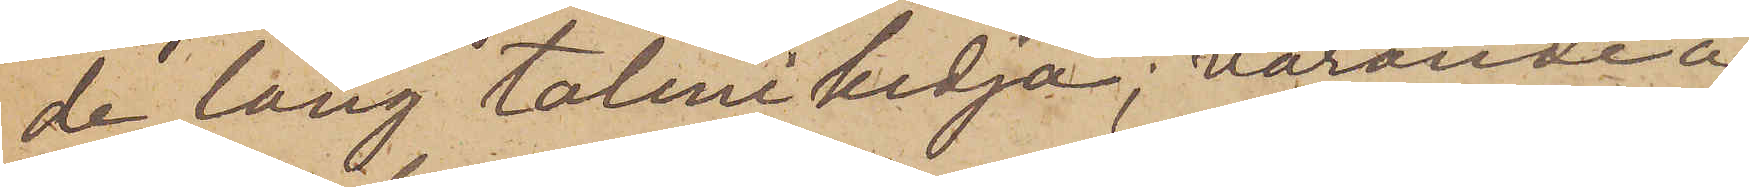de lång talmikedja, varande å
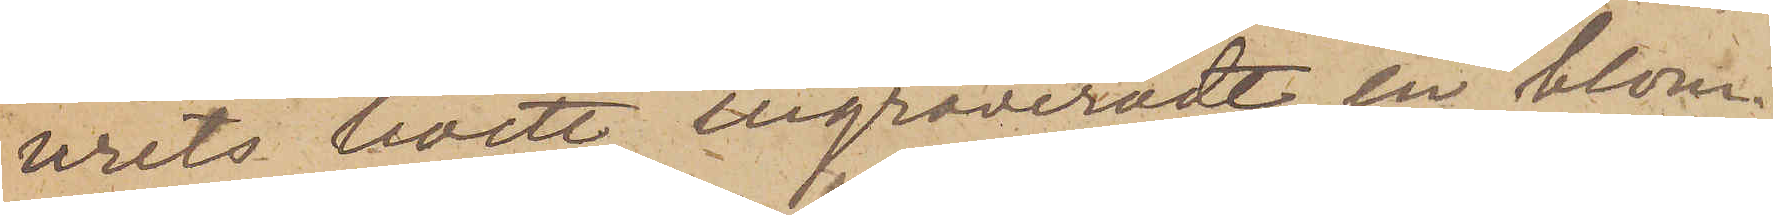urets boett ingraveradt en blom¬
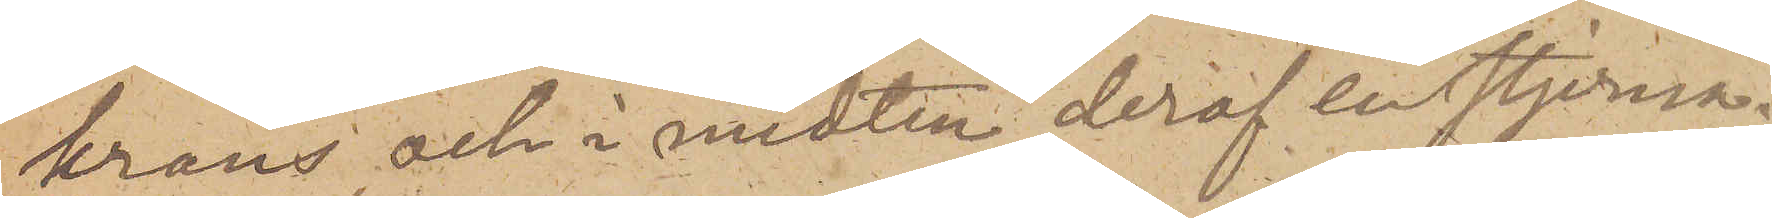krans och i midten deraf en stjerna
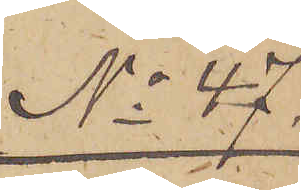No 47
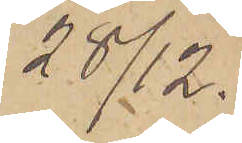28/12.
